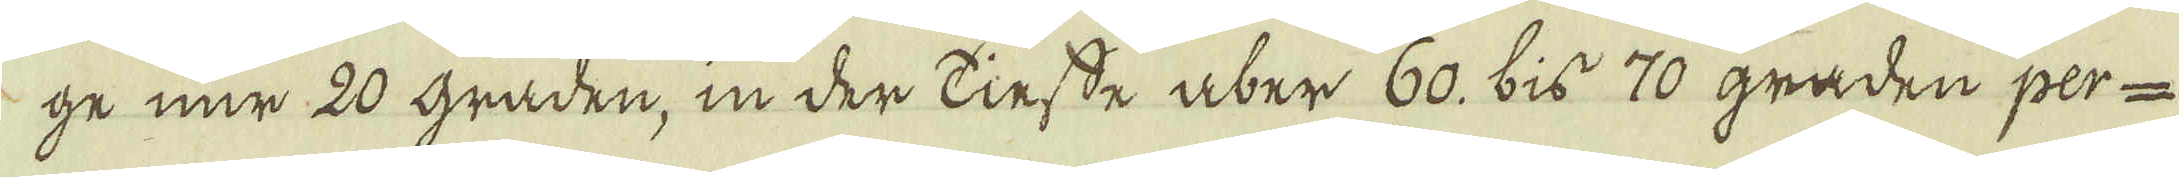ge nur 20 graden, in der kiesse uber 60. bis 70 graden per-
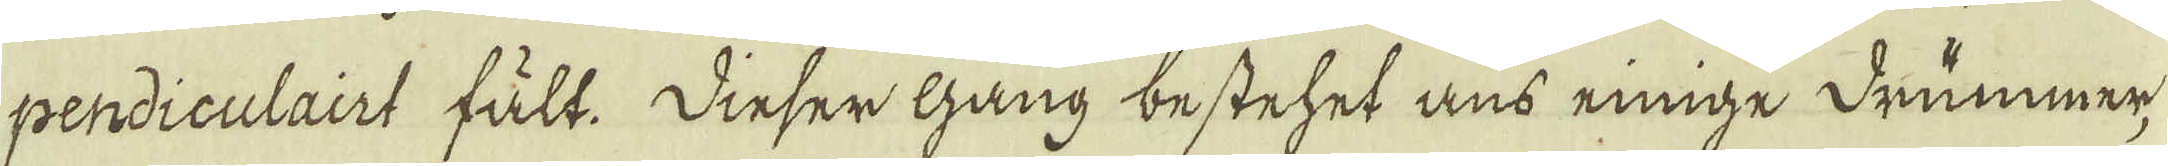pendiculairt fält. Dieser gang bestehet uns einige drummer,
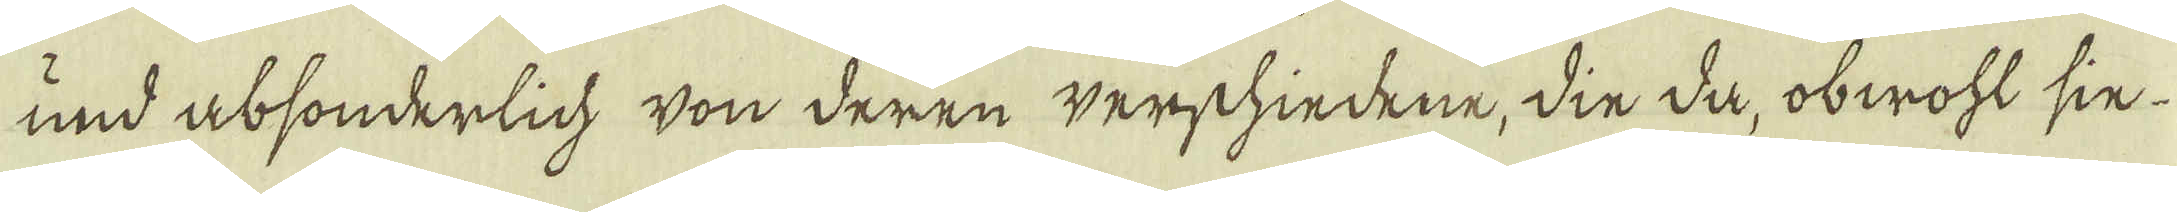und absonderlich von deren werschiedene, din da, obwoht sin-
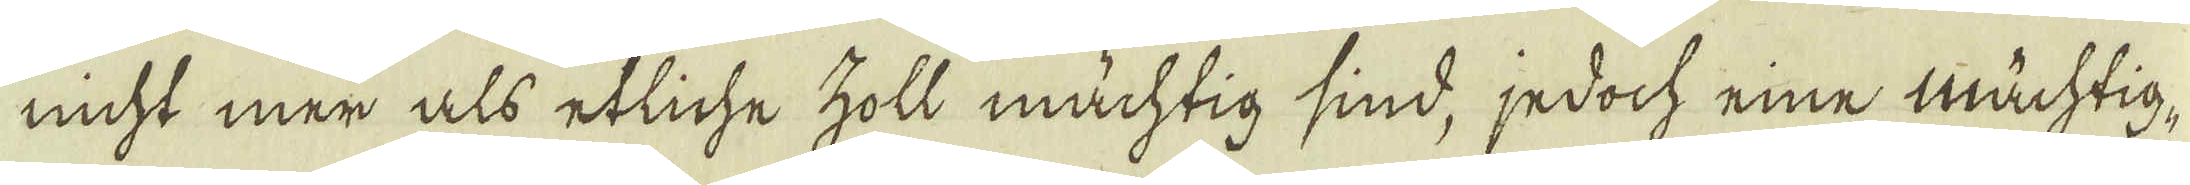nicht mer als etliche holl mächtig sind, jedoch eine Mächtig-
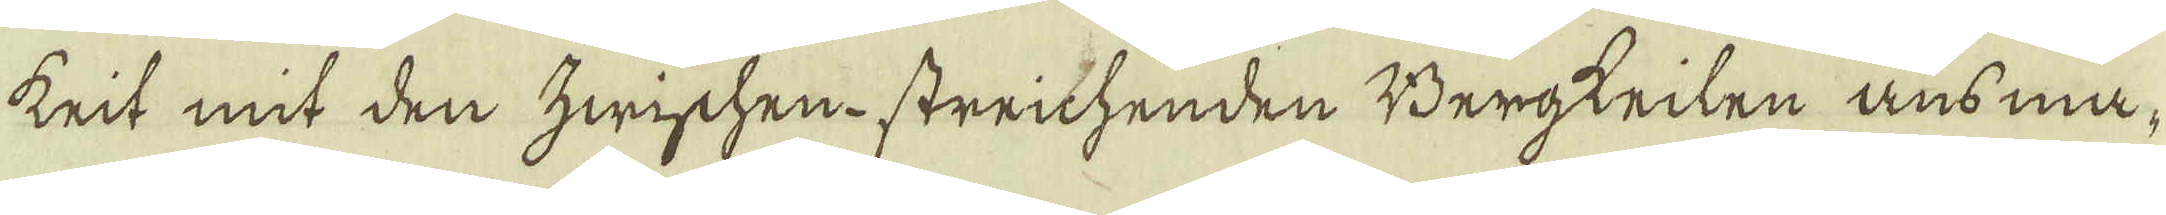krit mit den hwischen-strichenden Bergtrilen ausma-
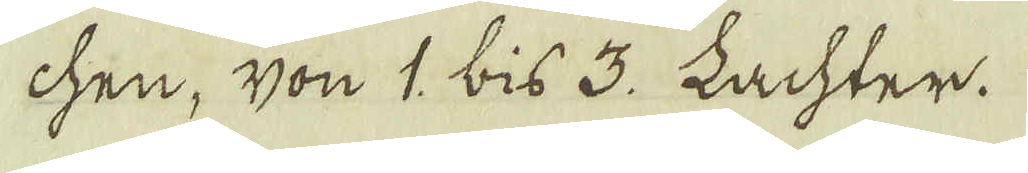chen, von 1. bis 3. Lachter.
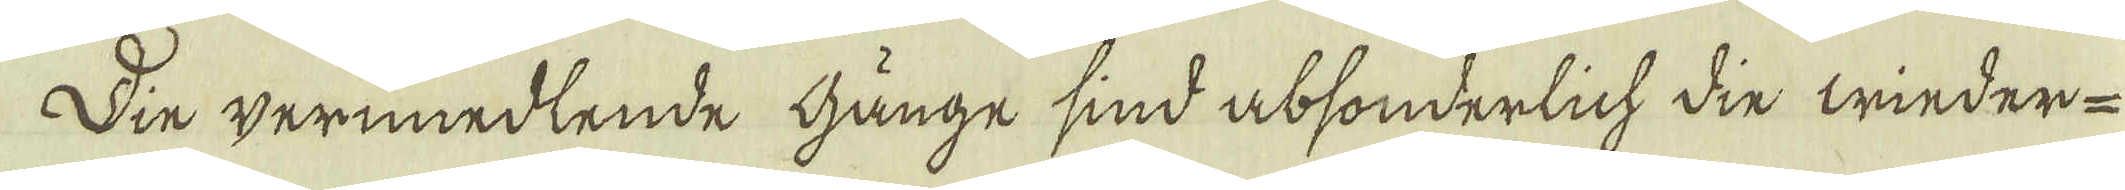Din vernmedlende hunge sind absonderlich din winder-
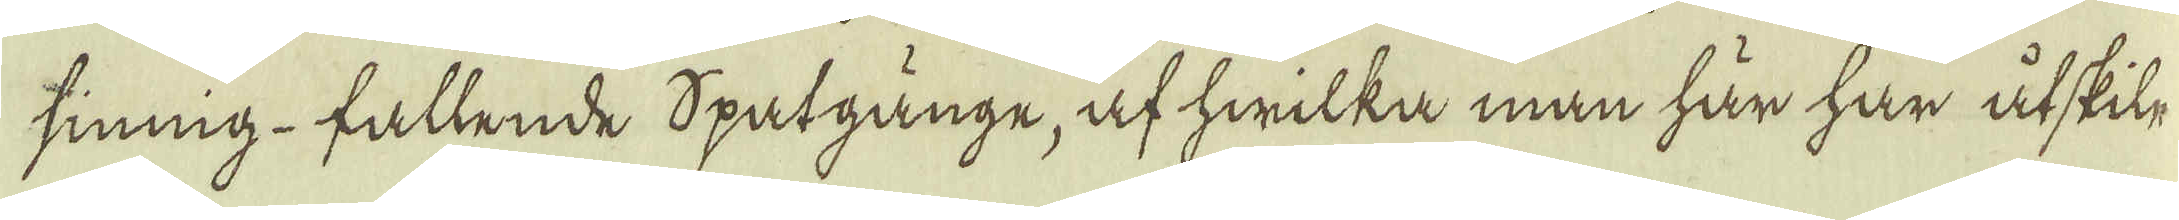sinnig-fallende spatgunge, af hwilka man här har utskil-
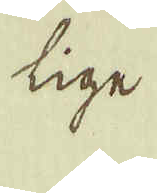lige
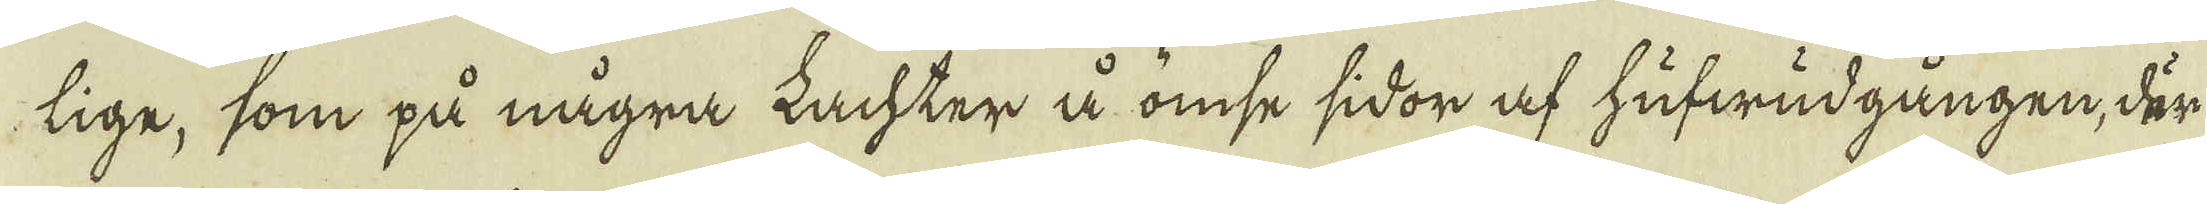lige, som på några Lachter å omse sidor af hufwudgången, där
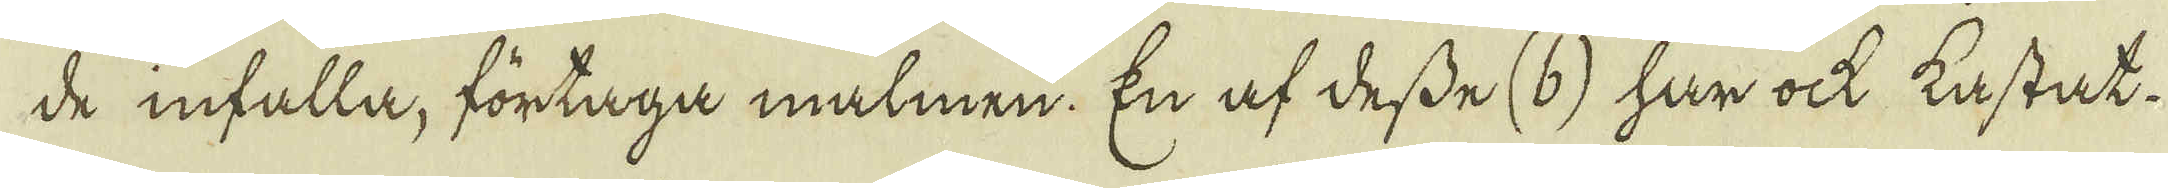de infalla, förtaga malmen. En af desse (b) har ock kastat.
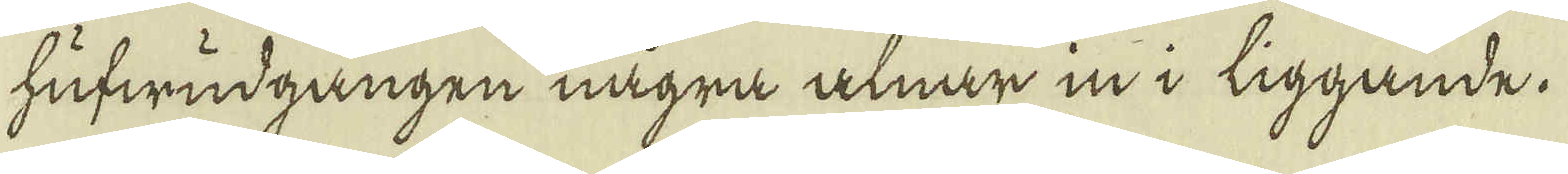hufwudgången några alnar in i liggande.
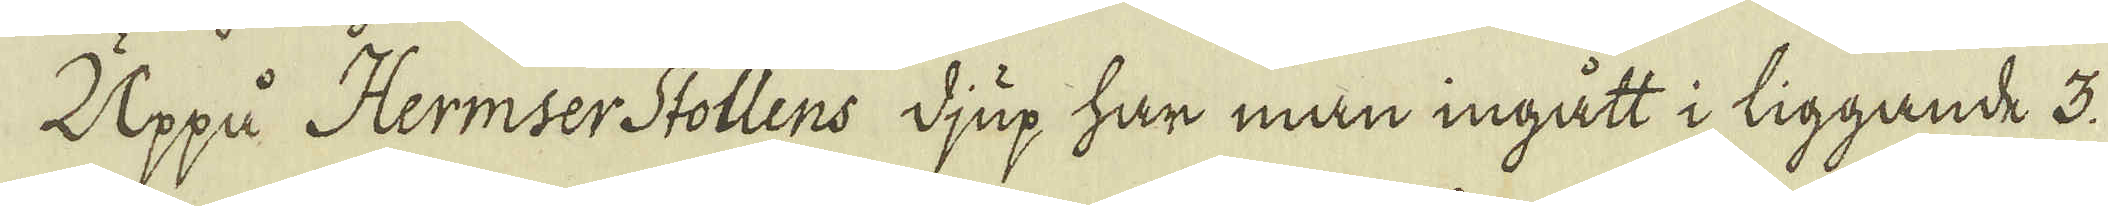Uppå Hermser-Stollens djup har man ingått i liggande 3.
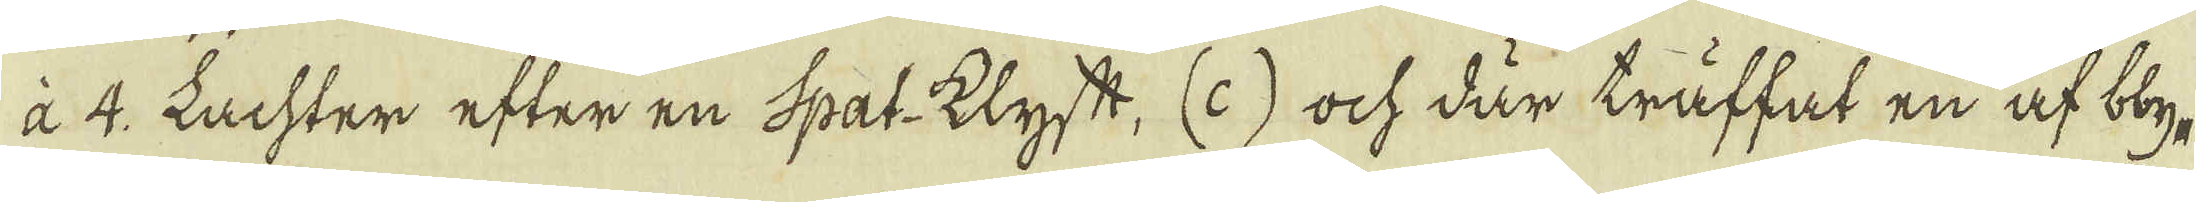a 4. Lachter efter en Spat-klyft, (c) ock där träffat en af bly-
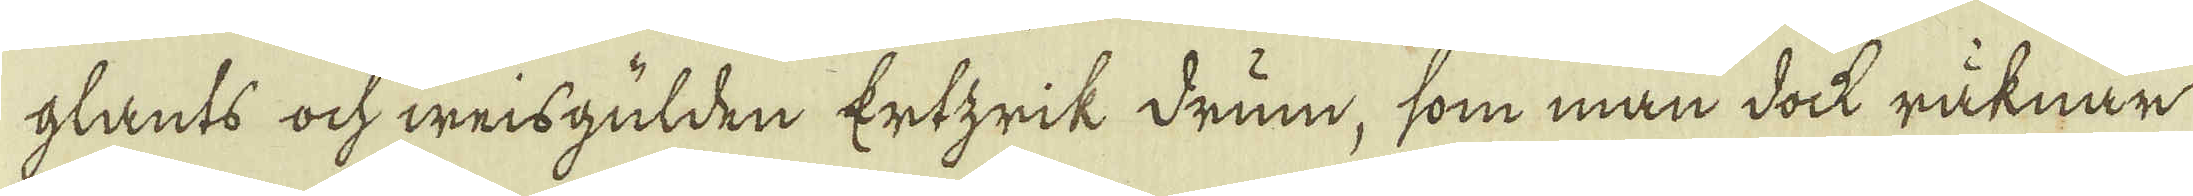glants och weisgülden Ertzrik drum, som man dock räknar
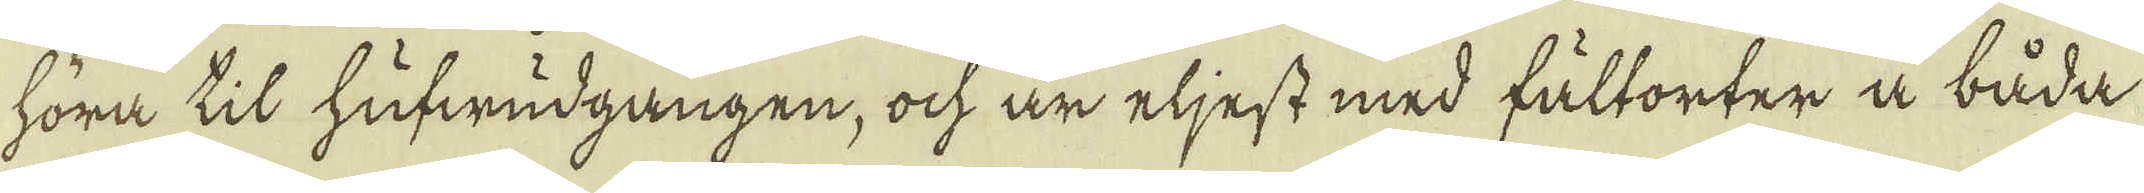höra til hufwudgången, ock är eljest med fältorter å båda
